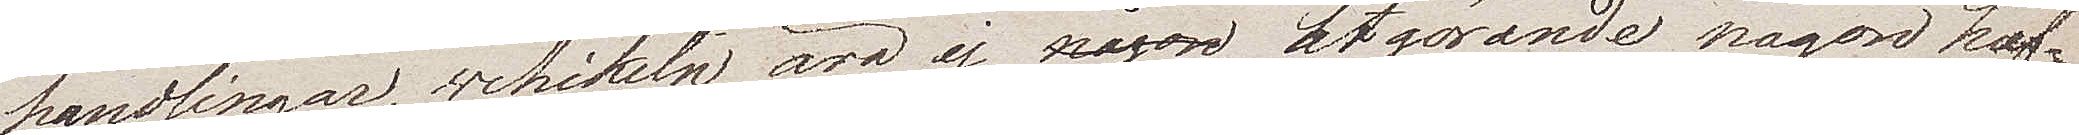handlingar, vehikeln äro ej utgörande någon huf¬
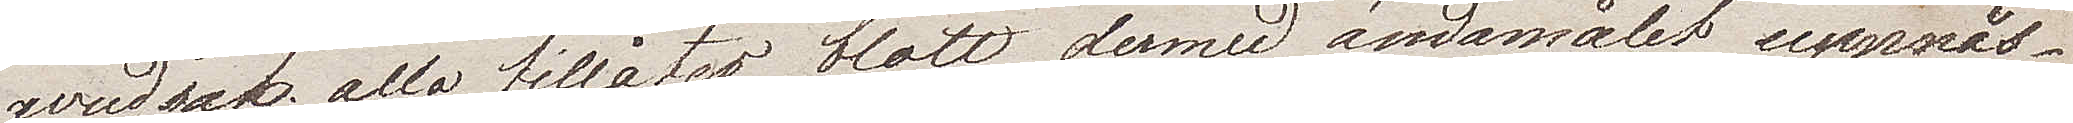vudsak, alla  tillåter blott dermed ändamålet uppnås,
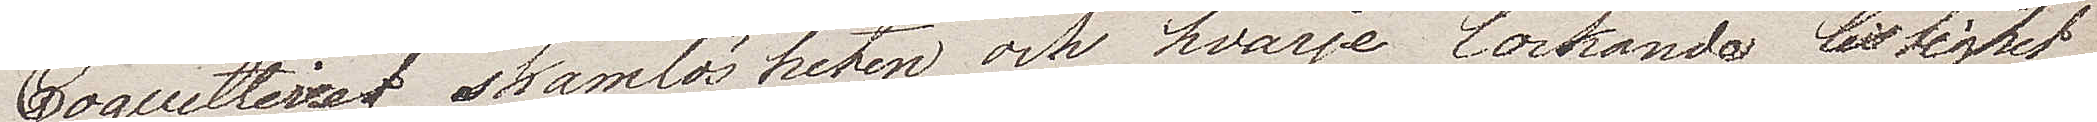Coquetteriet, skamlösheten och hvarje lockande listighet
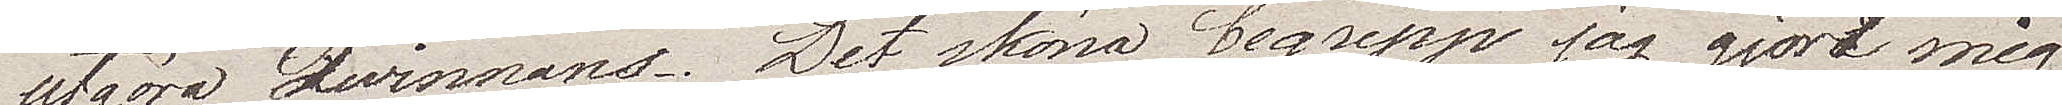utgöra Qwinnans. Det sköna begrepp jag gjort mig
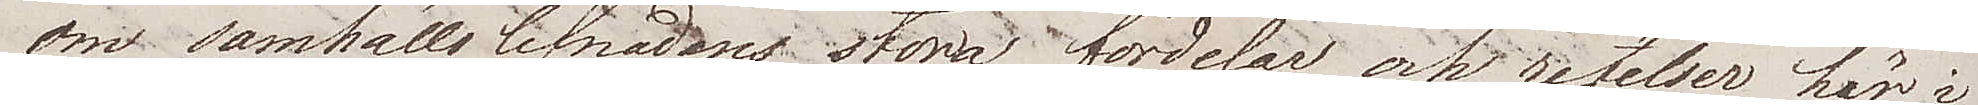om samhällslefnadens stora fördelar och retelser här i
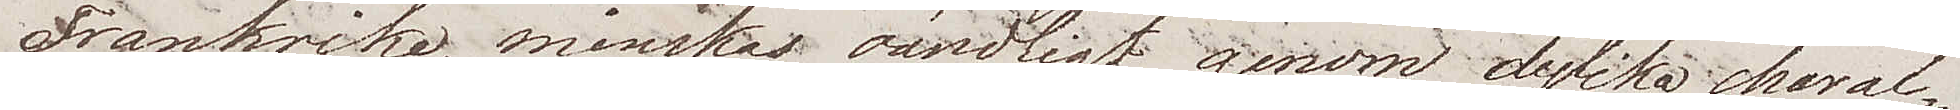Frankrike, minskas oändligt genom dylika charac¬
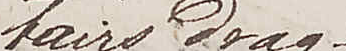tairsdrag.
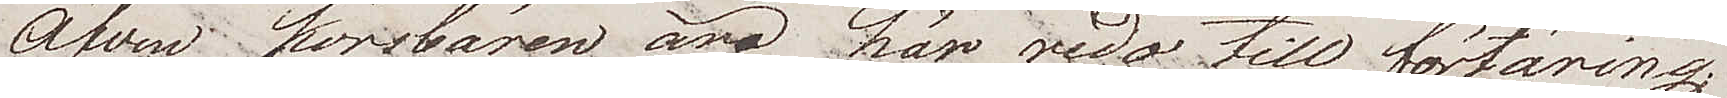Äfven körsbären äro här redan till förtäring;
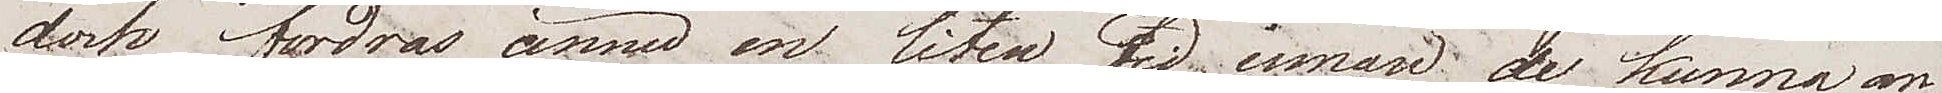dock fordras ännu en liten tid, innan de kunna an¬
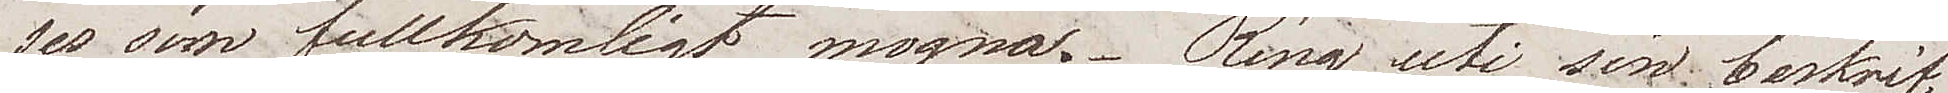ses som fullkomligt mogna. Ring uti sin beskrif¬
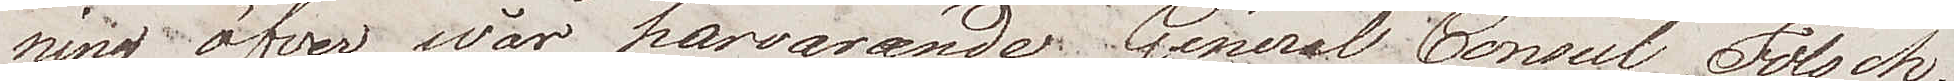ning öfver wår härvarande General Consul Fölsch
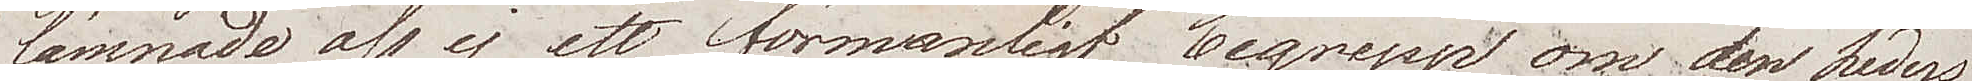lämnade oss ej ett förmånligt begrepp om den heders¬
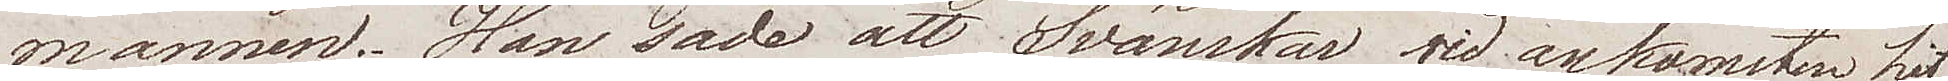mannen. Han sade att Svänskar vid ankomsten hit
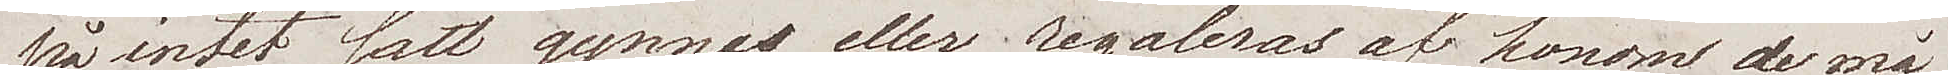på intet sätt gynnas eller regaleras af honom de må
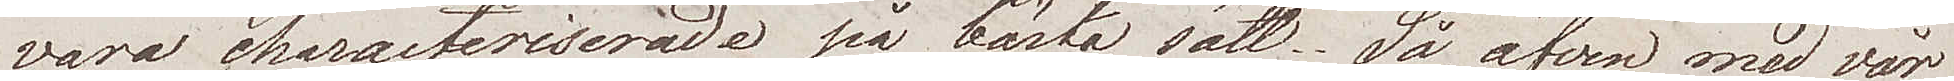vara characteriserade på bästa sätt. Så äfven med vår
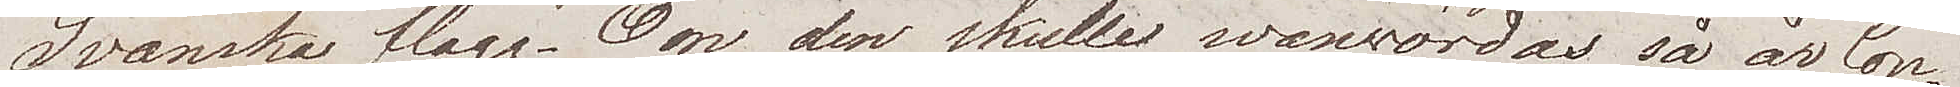Svänska flagg. Om den skulle vanvördas så är Con¬
